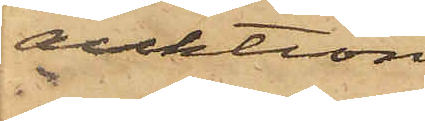auktion
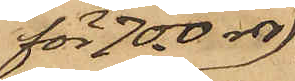för 700 rdr
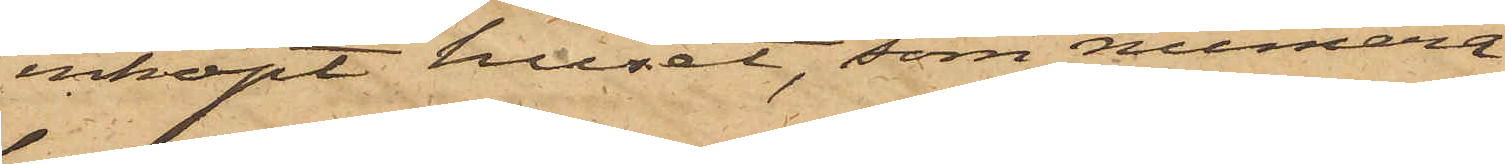inköpt huset, som numera
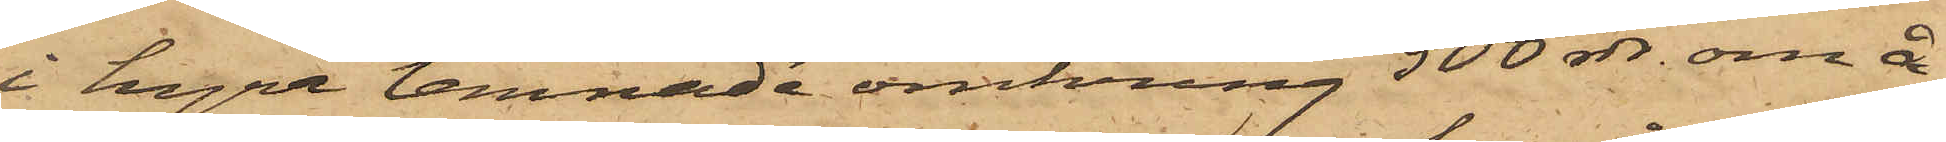i hyra lemnade omkring 500 rdr om å¬
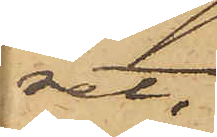ret,
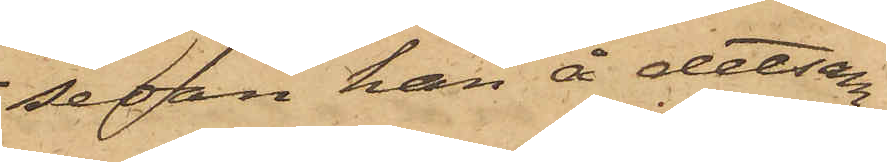sedan han å detsam¬
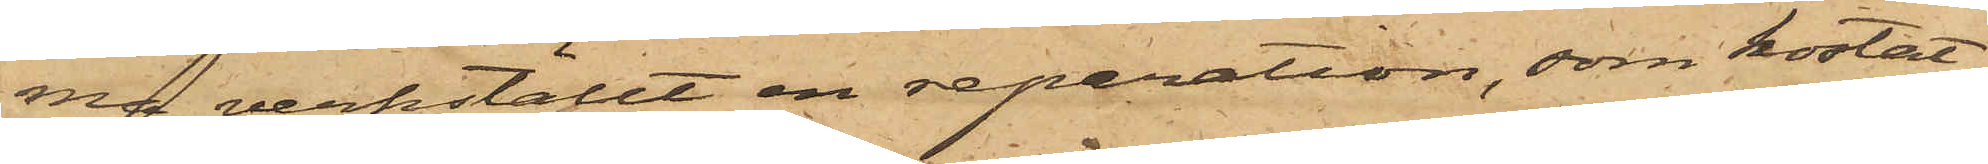na verkställt en reparation, som kostat
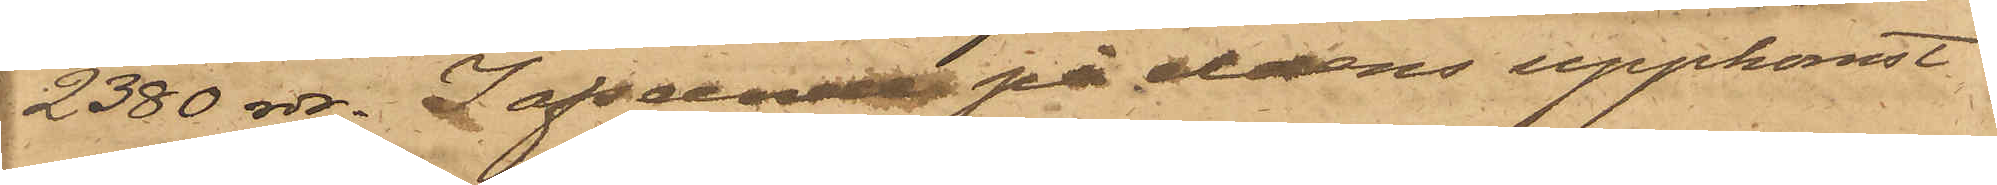2380 rdr. I afseende på eldens uppkomst
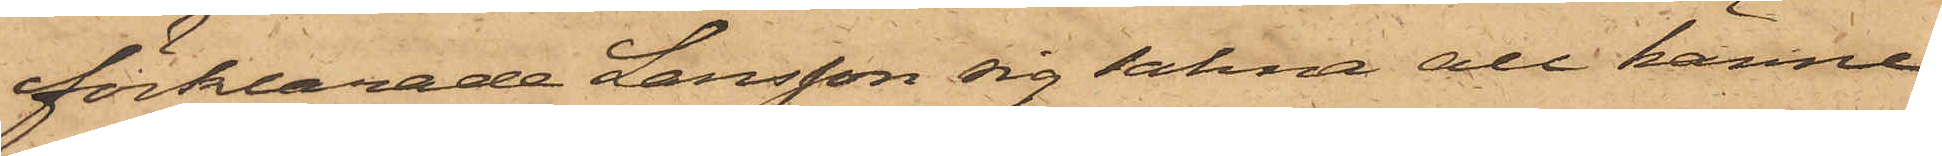förklarade Larsson sig sakna all känne¬
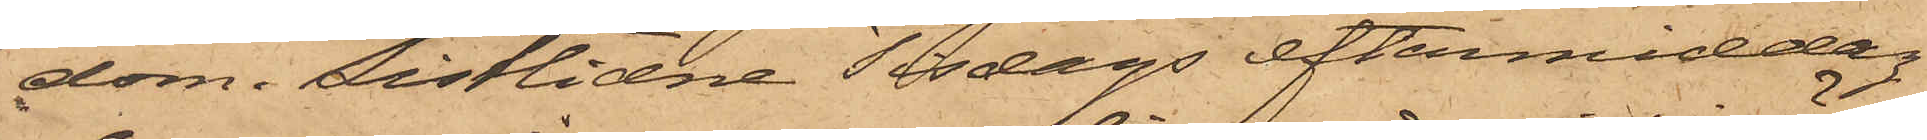dom. Sistlidne Tisdags eftermiddag
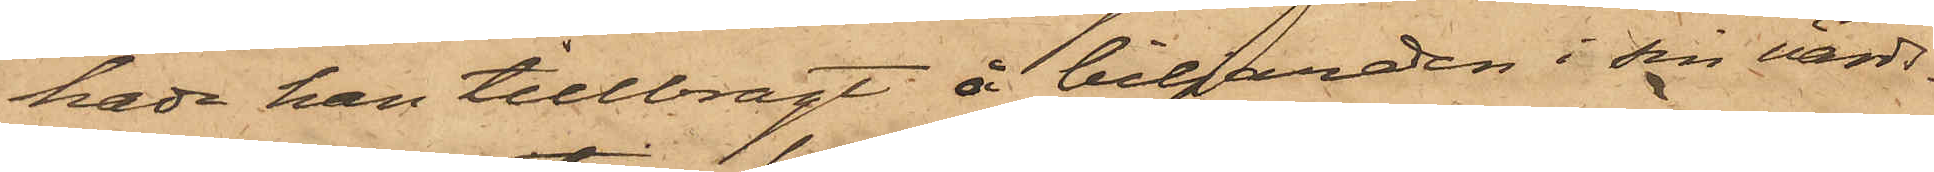hade han tillbragt å biljarden i sin värds¬
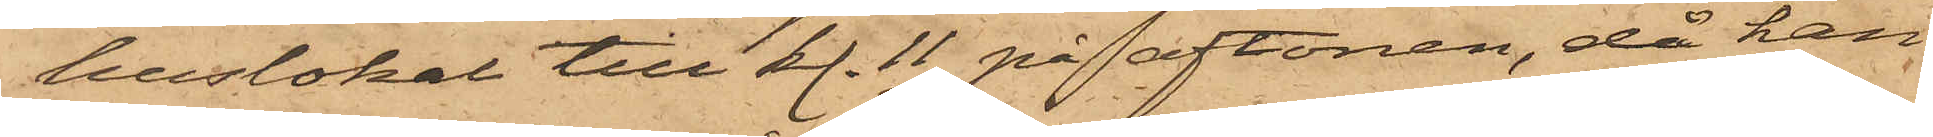huslokal till kl. 11 på aftonen, då han
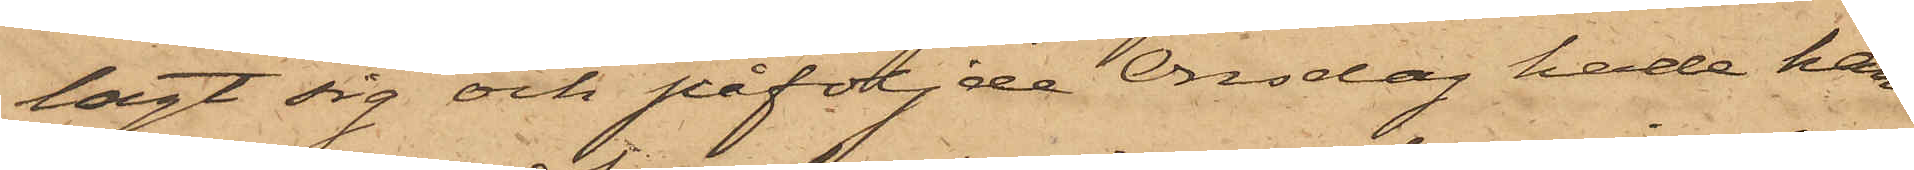lagt sig och påföljde Onsdag hade han
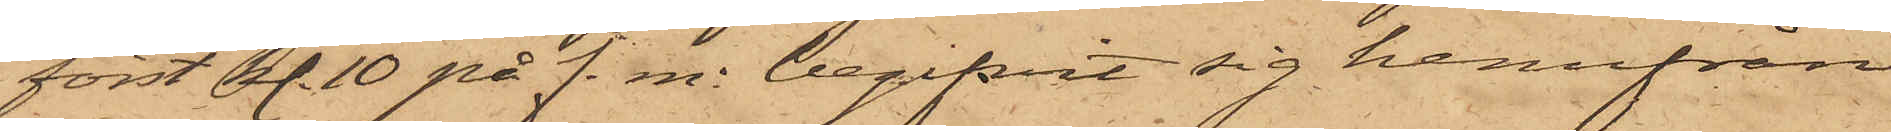först kl. 10 på f. m. begifvit sig hemifrån
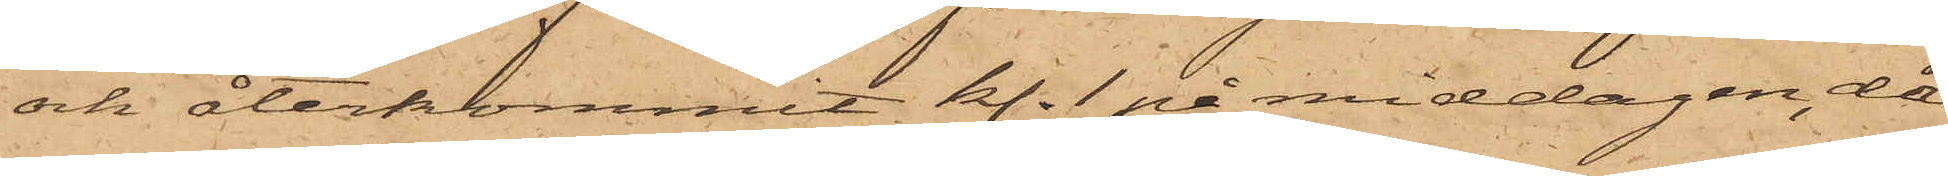och återkommit kl. 1 på middagen, då
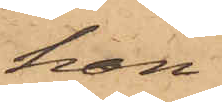han
